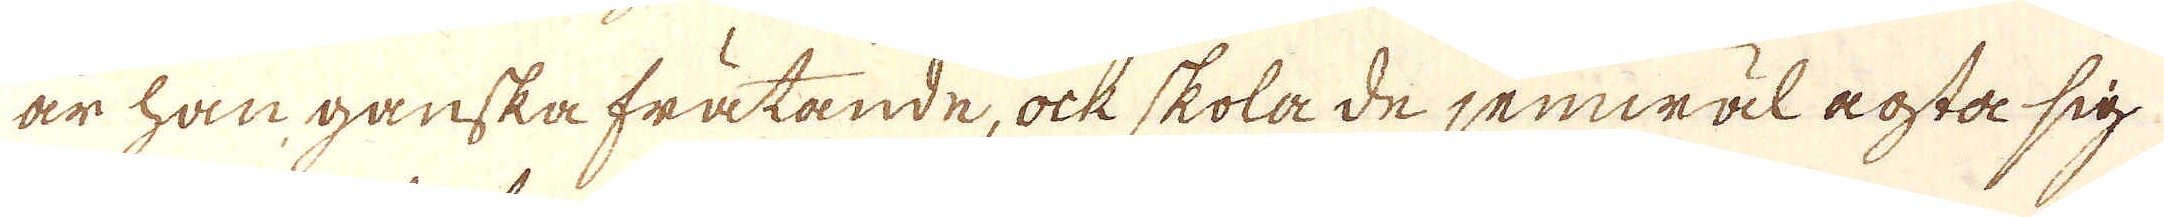är han ganska frätande, ock skola de jemwäl aosta sig
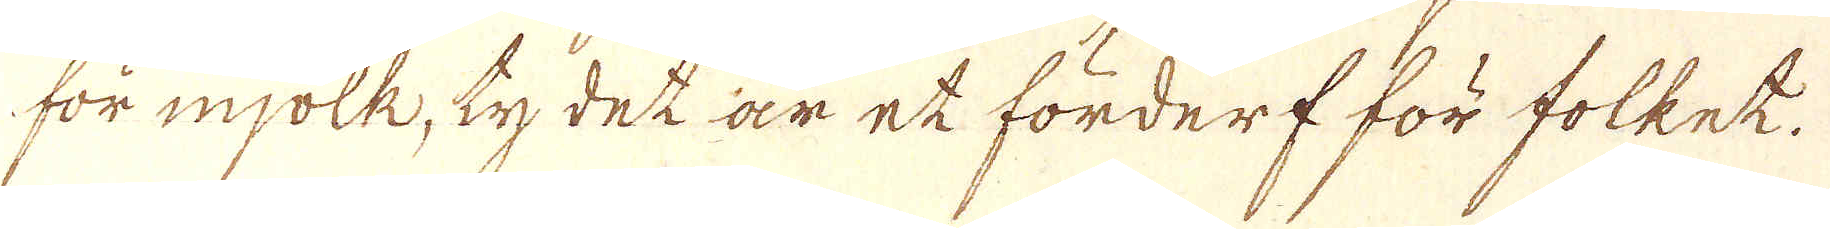för mjölk, ty det är et förderf för folket.
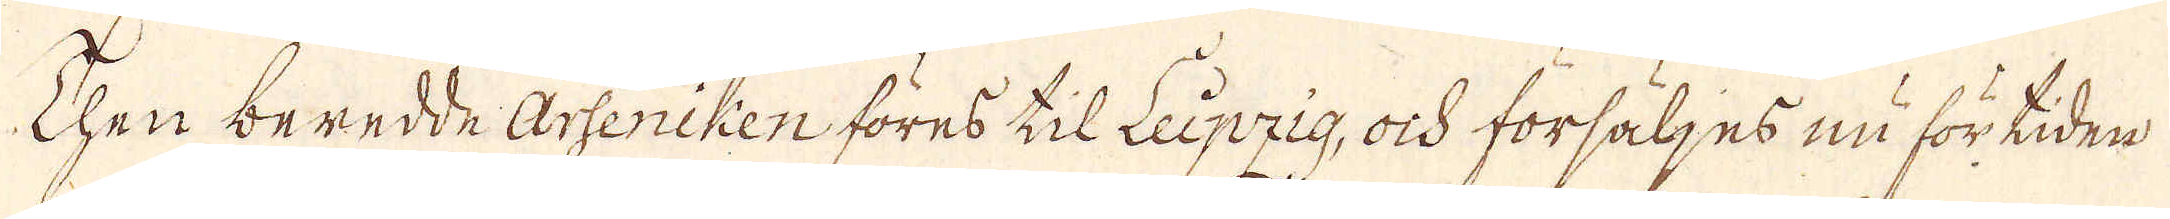Then beredde Arseniken föres til Leipzig, ock försäljes nu för tiden
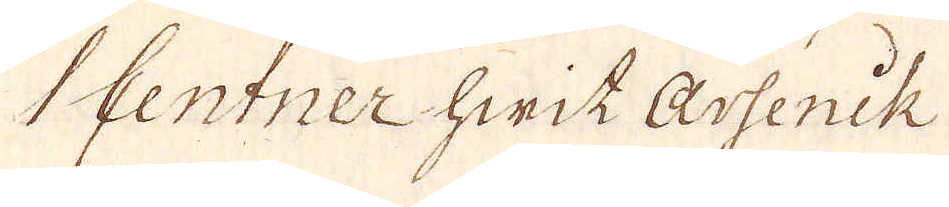1 Centner hwit Assenik
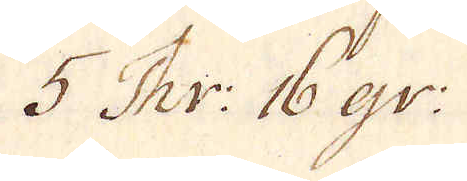5 Thr: 16 gr:
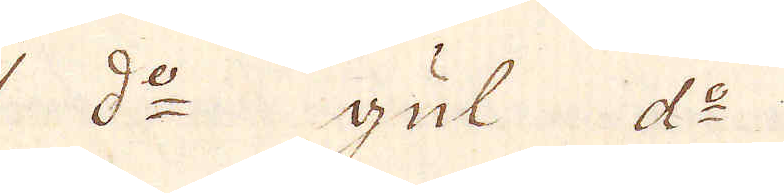1 d:o gul d:o
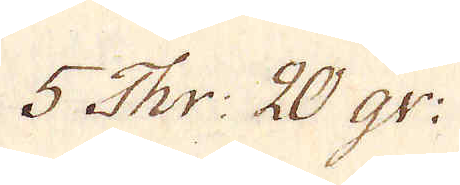5 Thr: 20 gr:
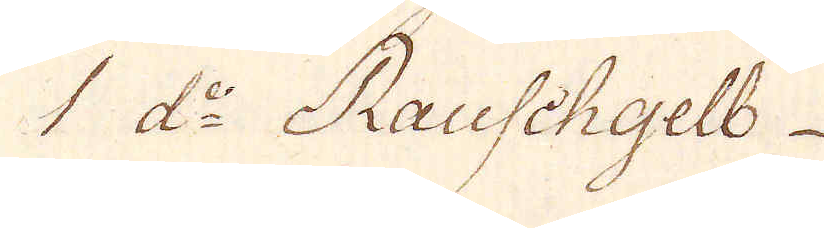1 d:o Rauschgelb
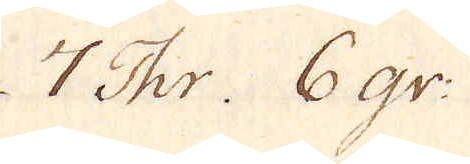7 Thr. 6 gr:
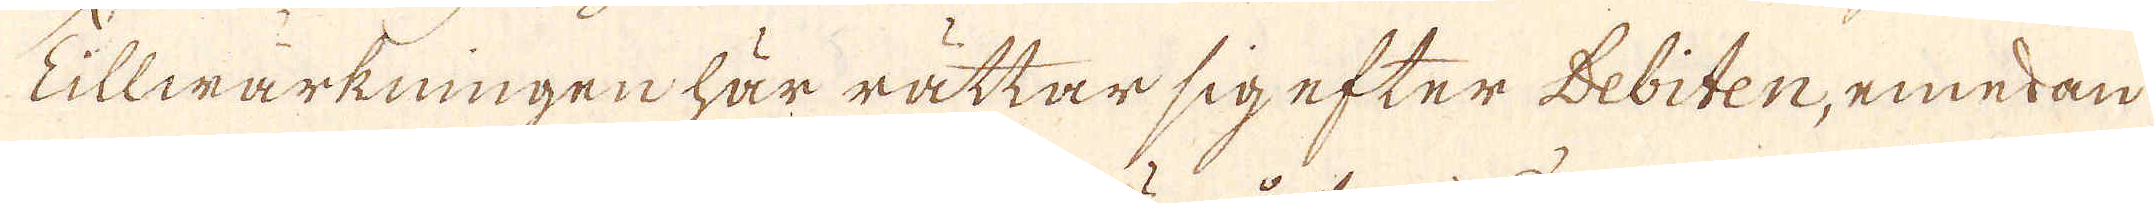Tillwärkningen här rättar sig efter Debiten, emedan
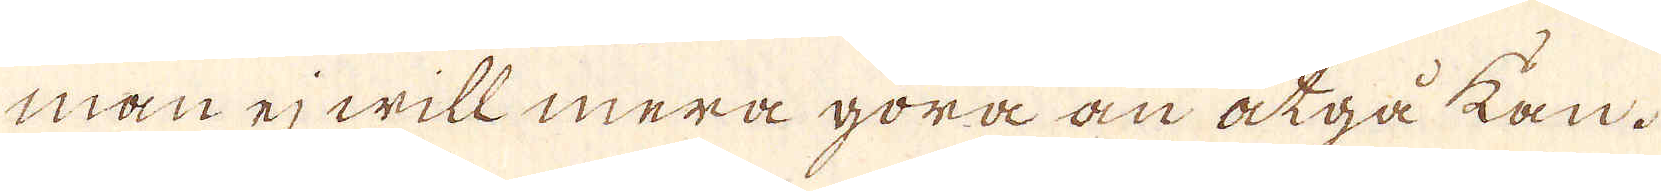man ej will mera göra än åtgå kan.
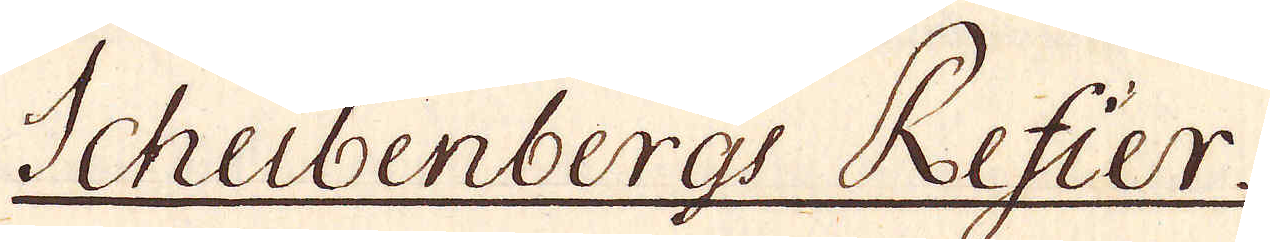Scheibenbergs Refier.
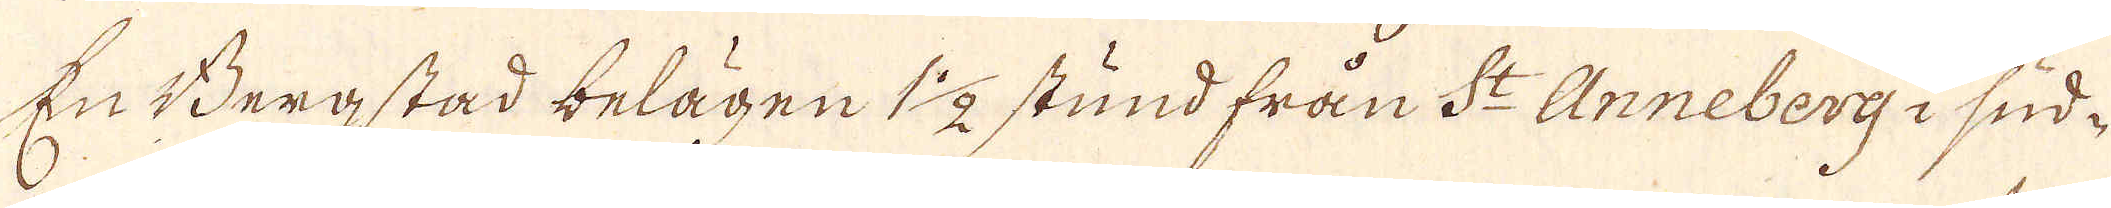En Bergstad belägen 1 1/2 stund från St Anneberg i sud-
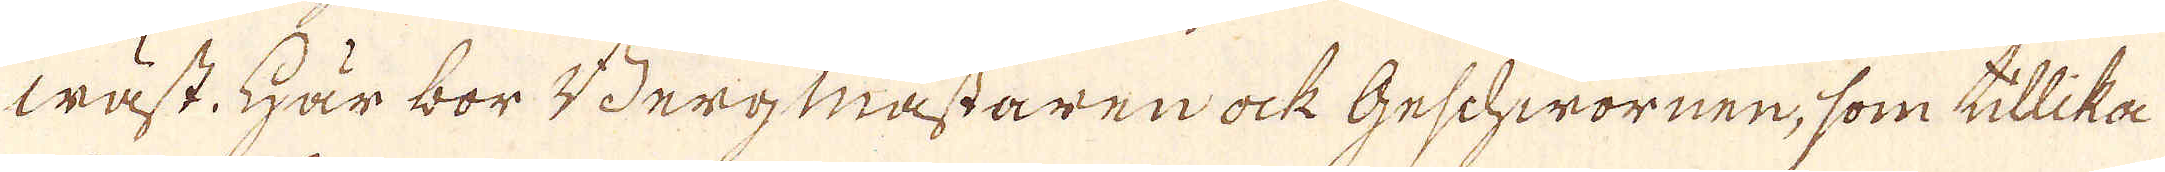wäst. Här bor Bergmästaren ock Geschworner, som tillika
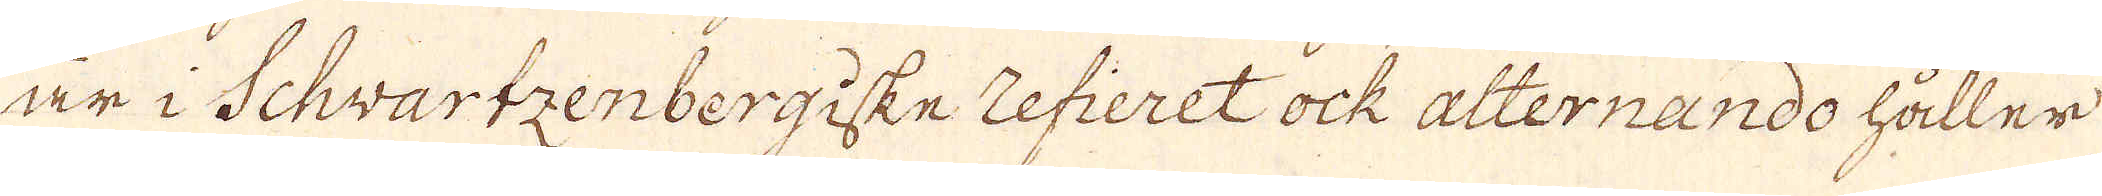är i Schvartzenbergiske refieret ock alternando håller
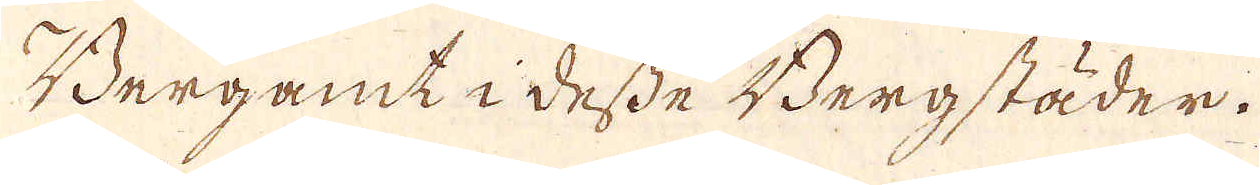Bergamt i desse Bergstäder.
